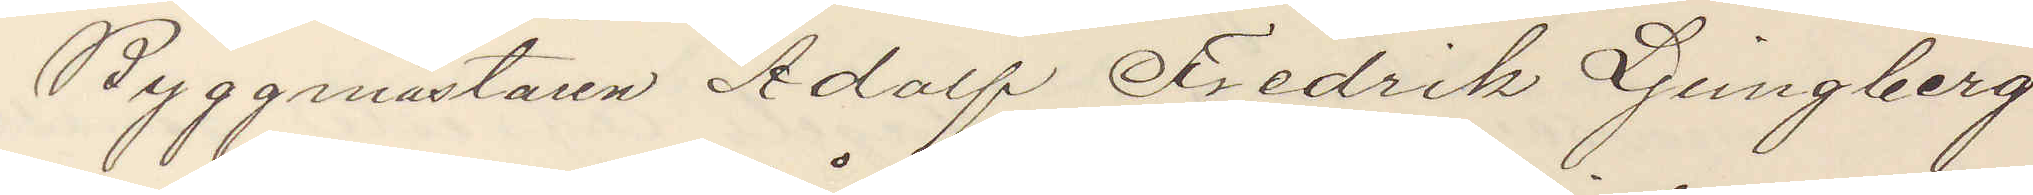Byggmästaren Adolf Fredrik Ljungberg
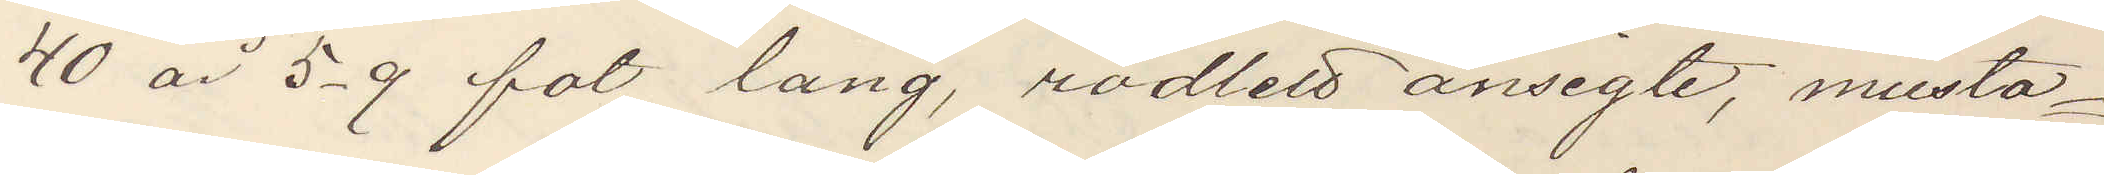40 år 5,9 fot lång, rödlett ansigte, musta¬
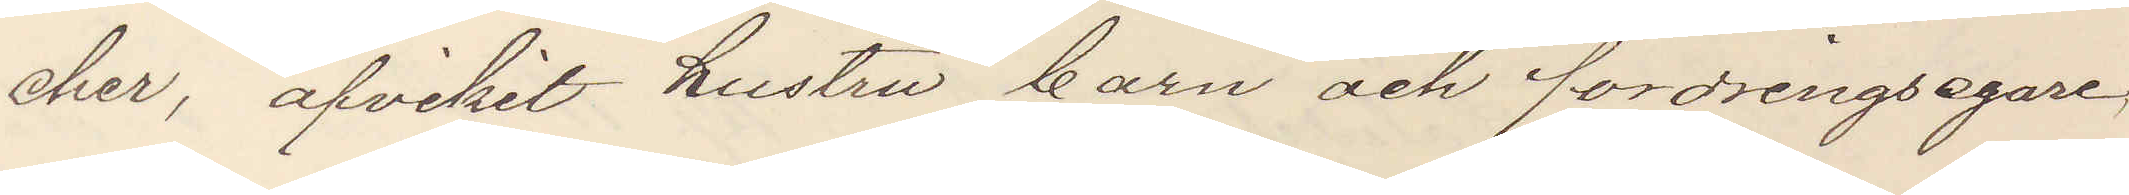cher, afvikit hustru barn och fordringsegare,
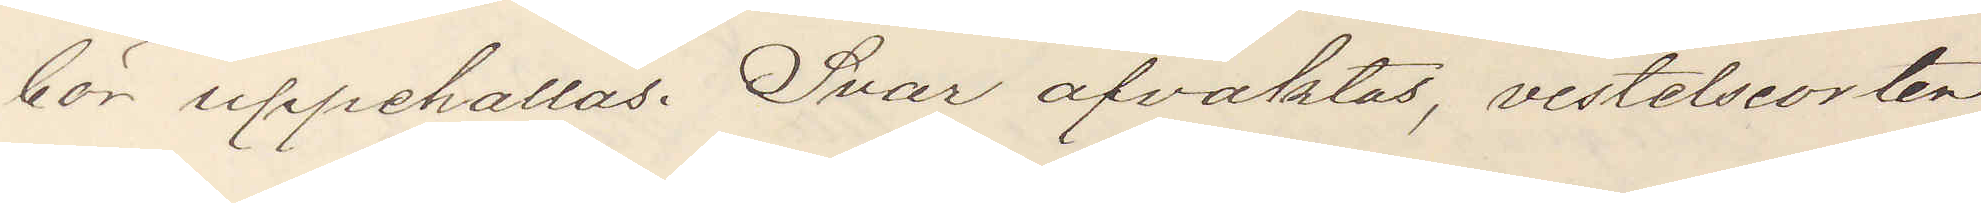bör uppehållas. Svar afvaktas, vistelseorten
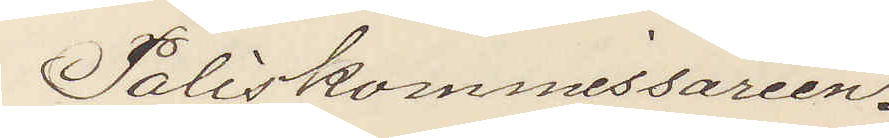Poliskommissarien.
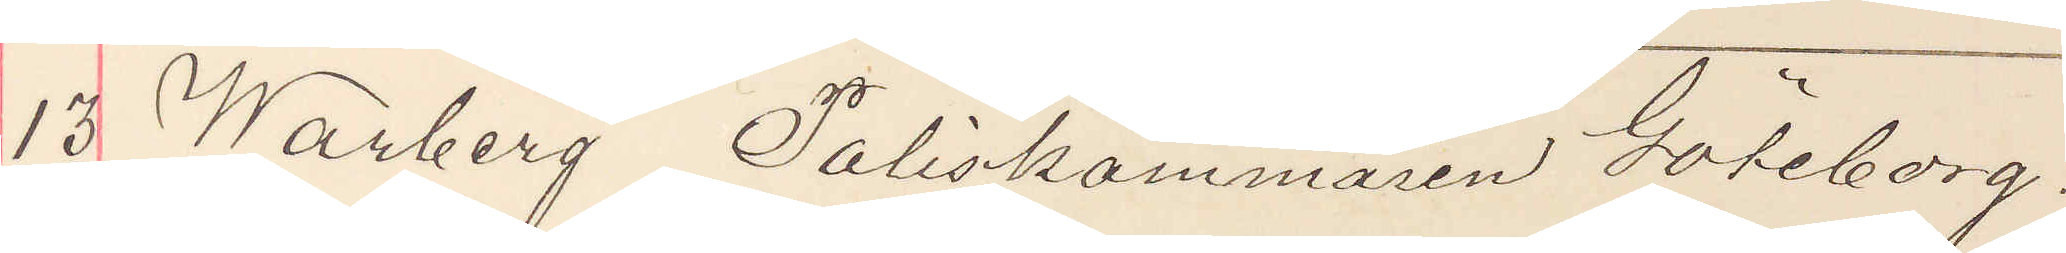13 Warberg Poliskammaren Göteborg.
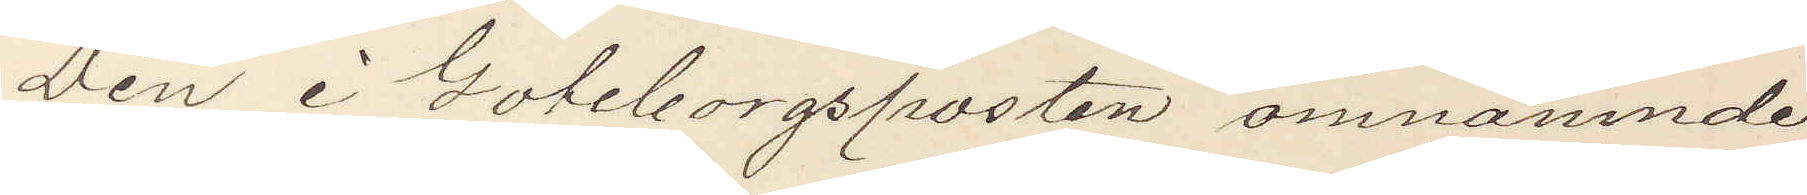Den i Goteborgsposten omnämnde
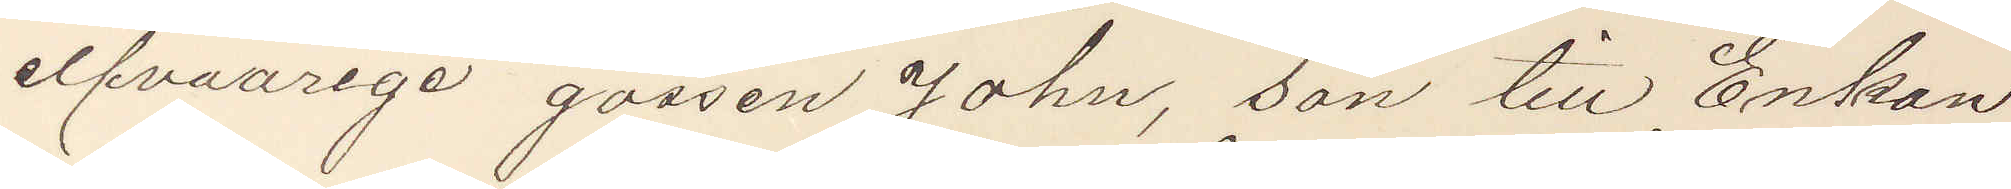elfvaårige gossen John, son till Enkan
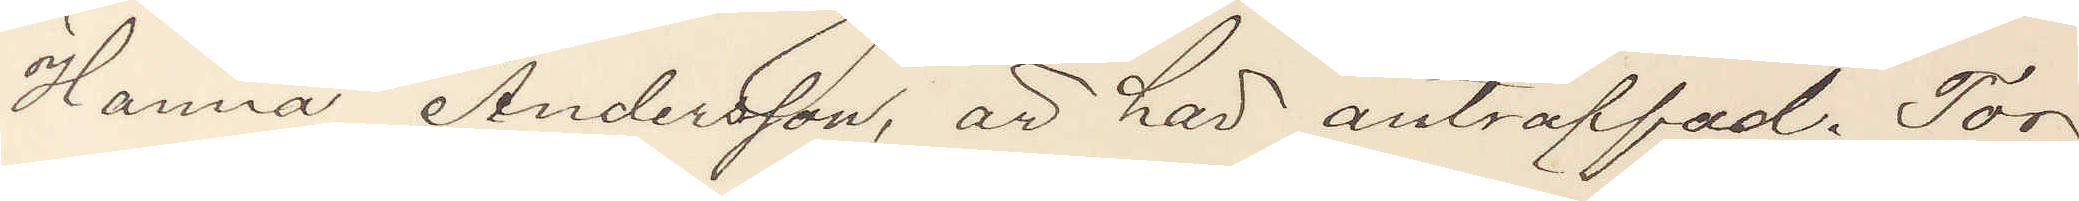Hanna Andersson, är har anträffad. Tor¬
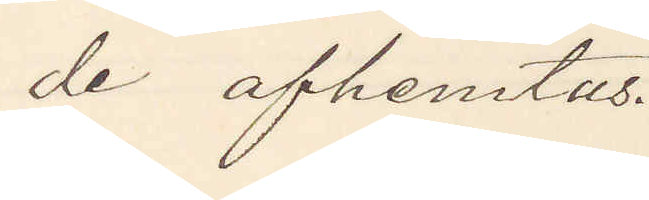de afhemtas.
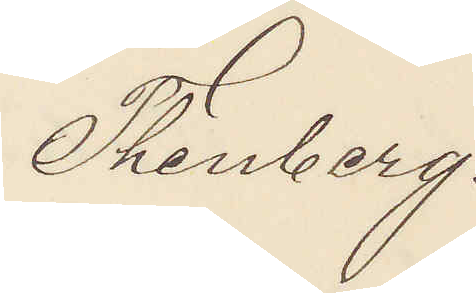Thenberg.
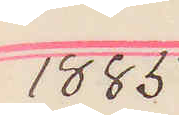1885
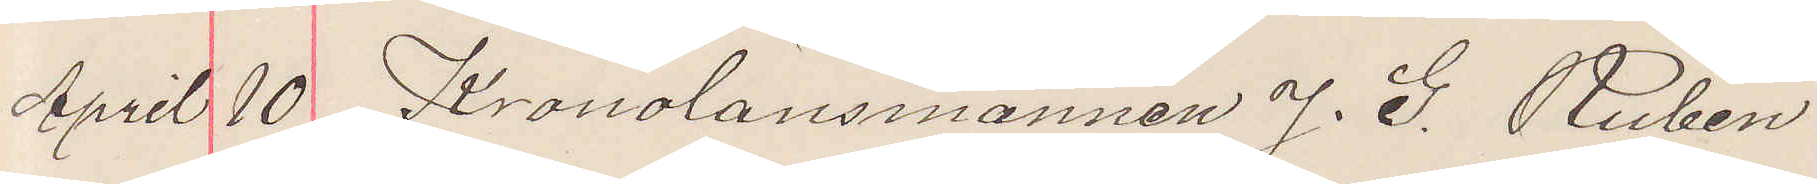April 10 Kronolänsmannen J. G. Rubin
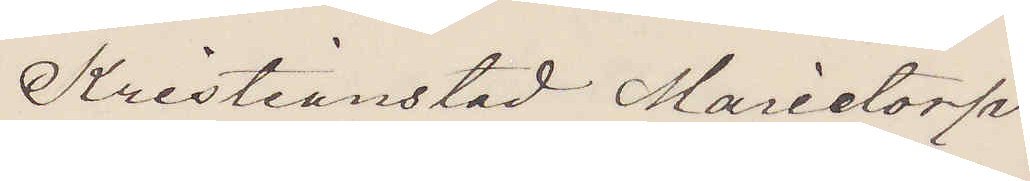Kristianstad Marietorp.
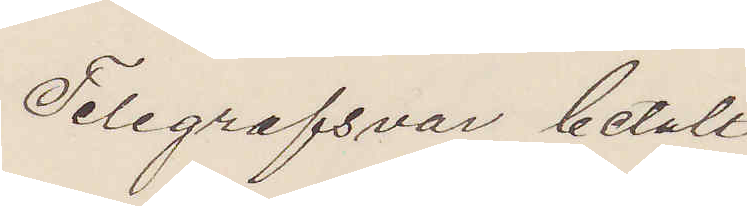Telegrafsvar betalt.
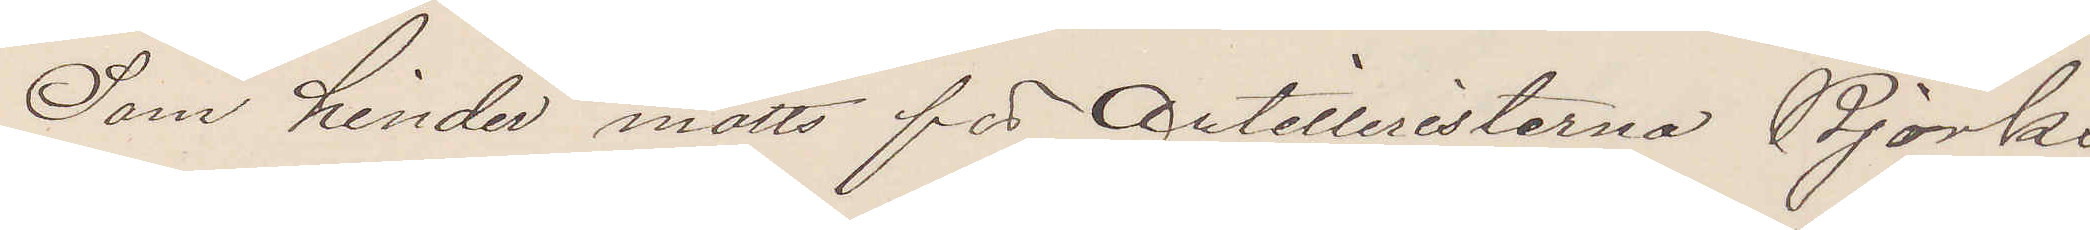Som hinder mötts för Artilleristerna Björk
